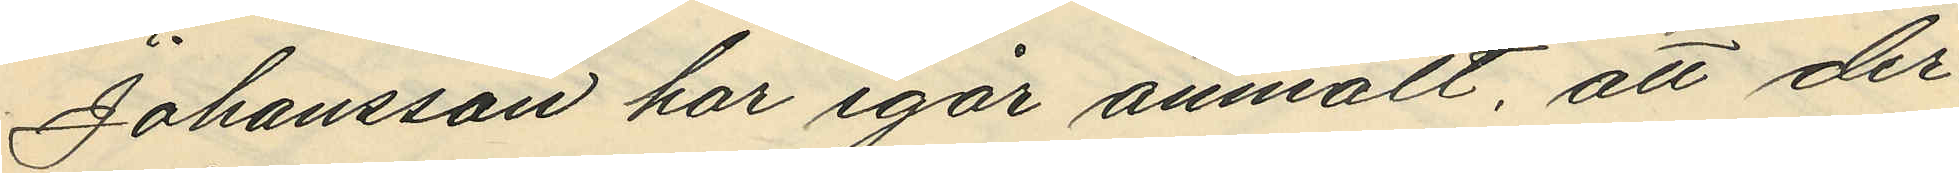Johansson har igår anmält, att der
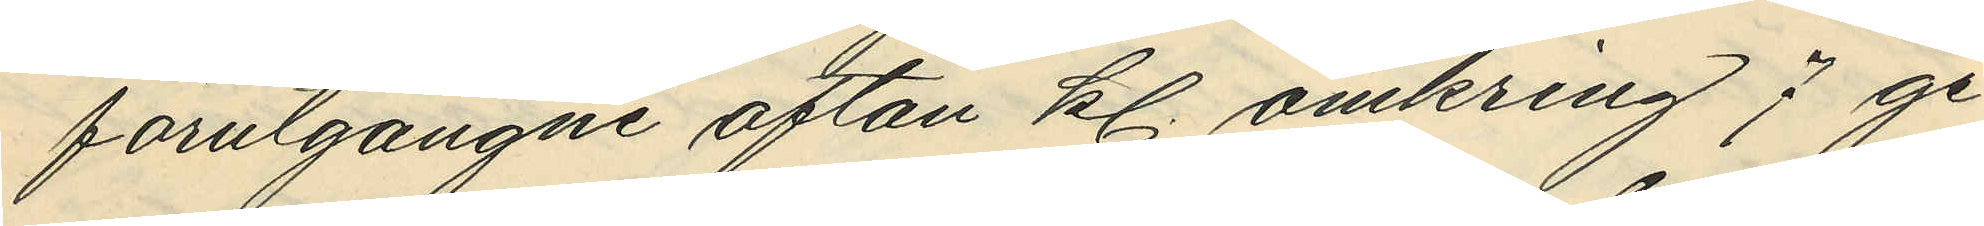förutgångne afton kl. omkring 7 ge¬
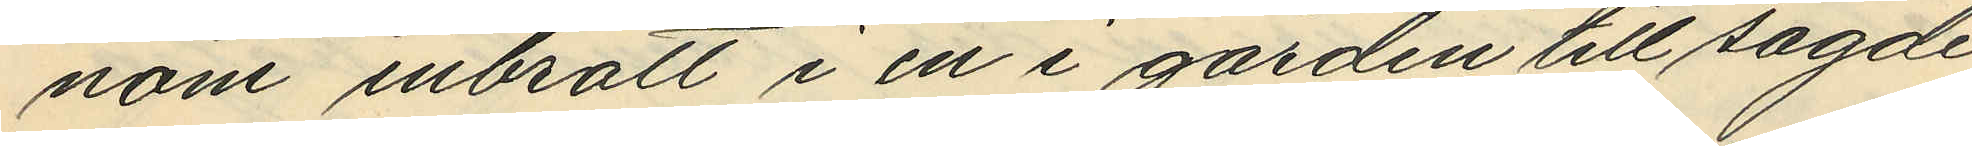nom inbrott i en i gården till sagde
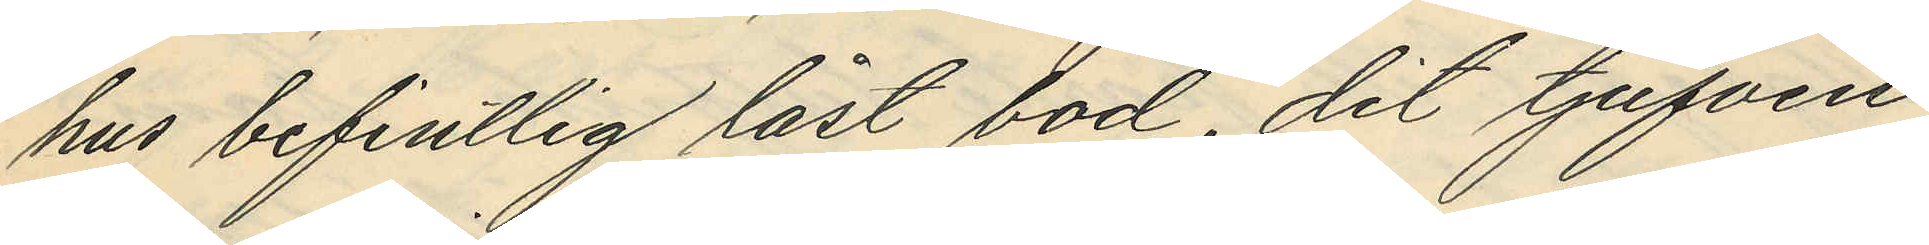hus befintlig låst bod, dit tjufven
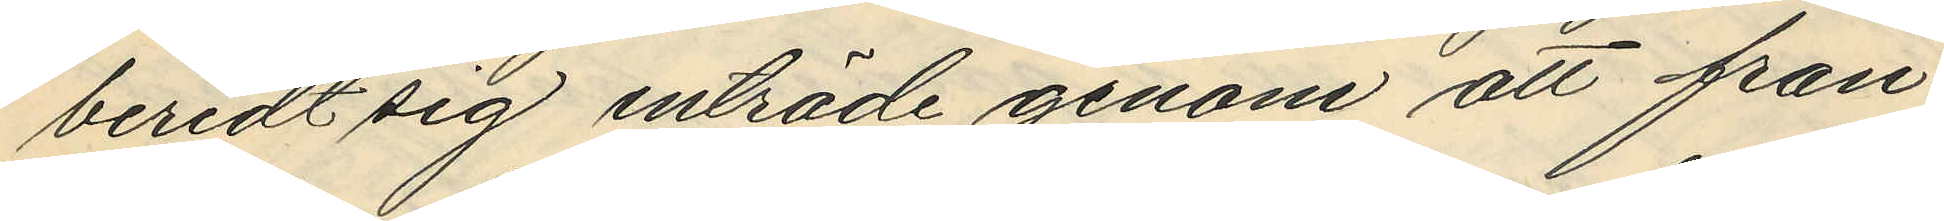beredt sig inträde genom att från¬
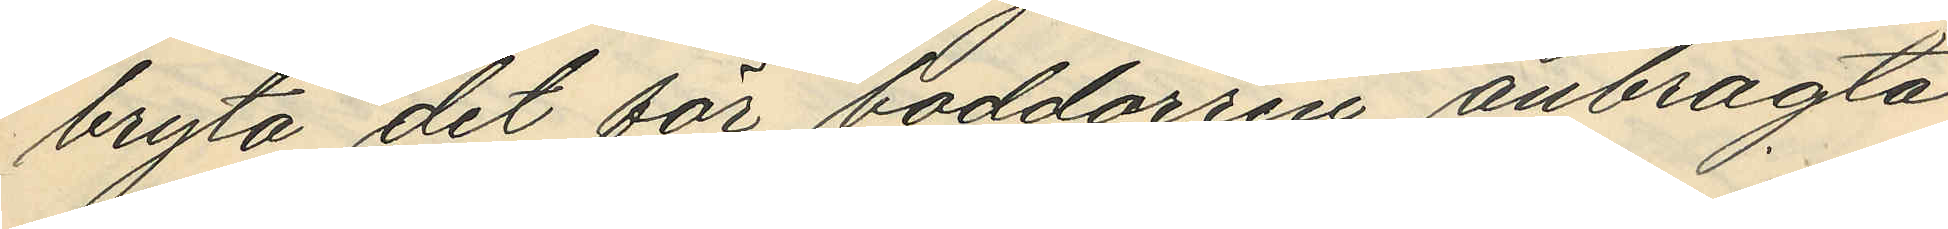bryta det för boddörren anbragta
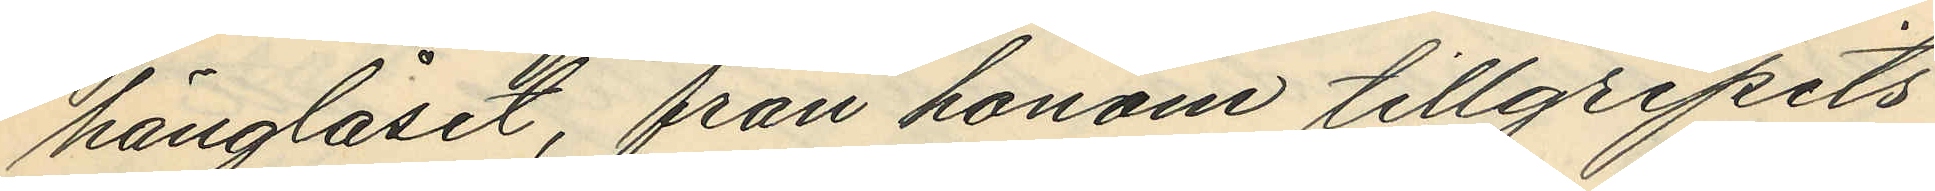hänglåset, från honom tillgripits
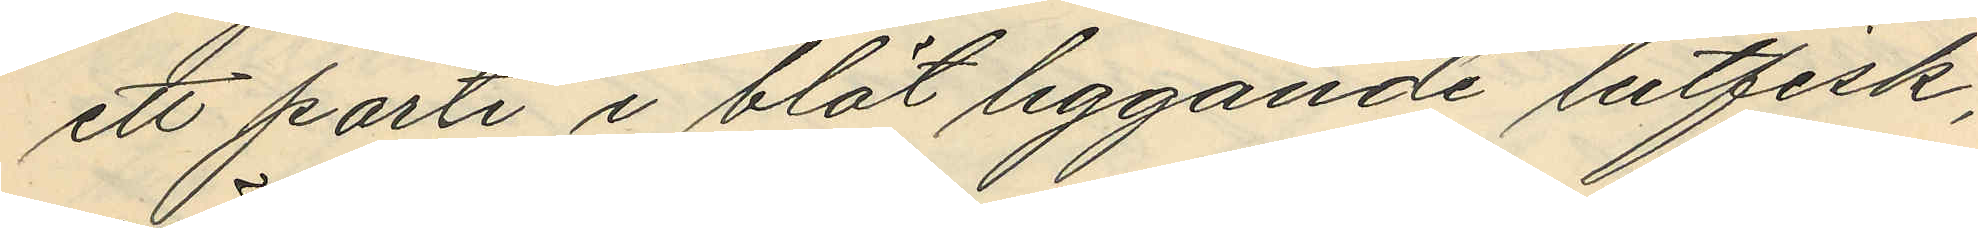ett parti i blöt liggande lutfisk,
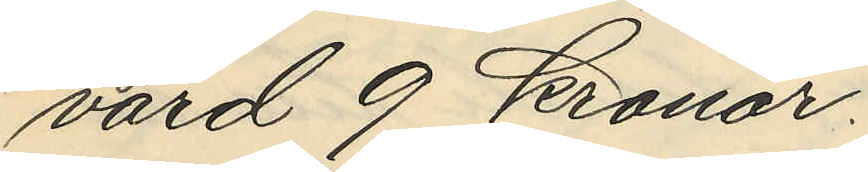värd 9 kronor.
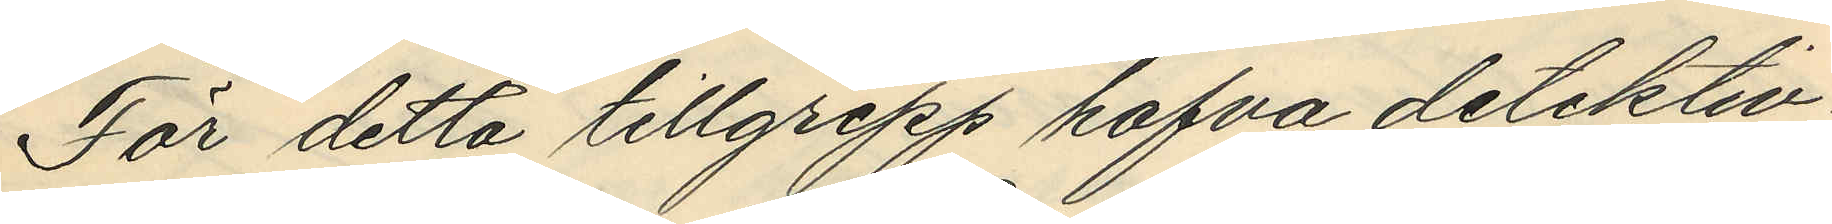För detta tillgrepp hafva detektiv¬
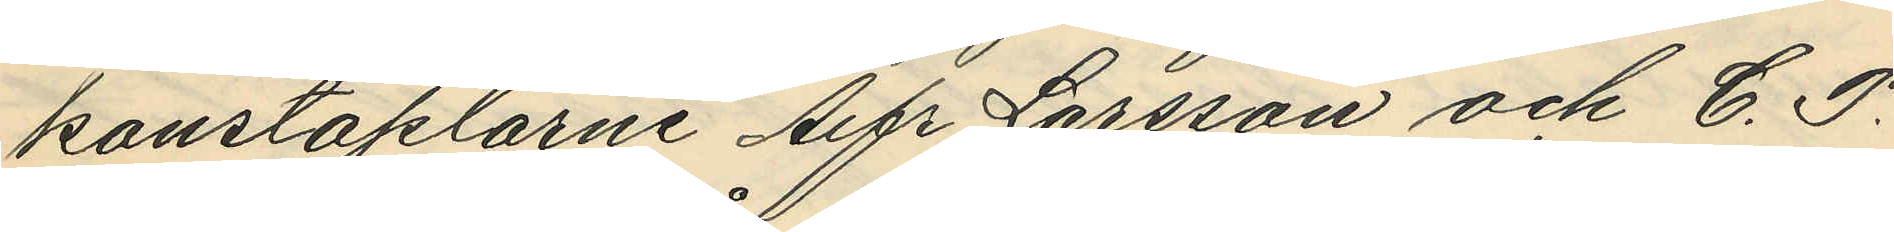konstaplarne Alfr. Larsson och C. F.
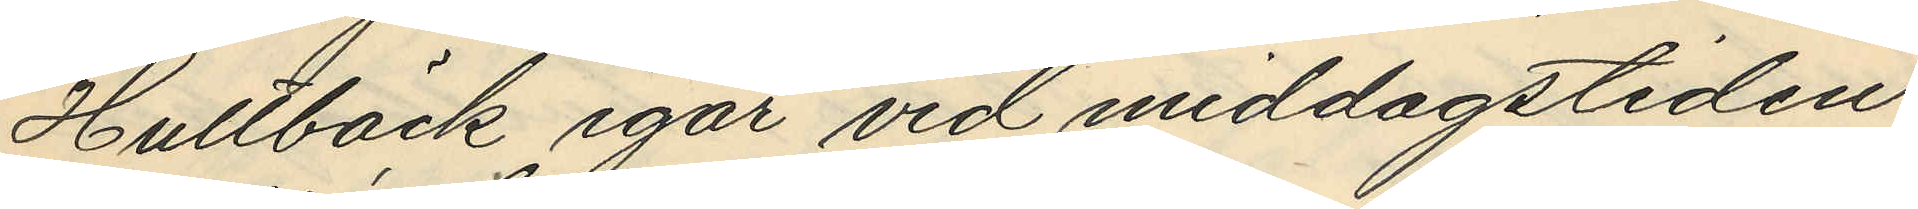Hultbäck igår vid middagstiden
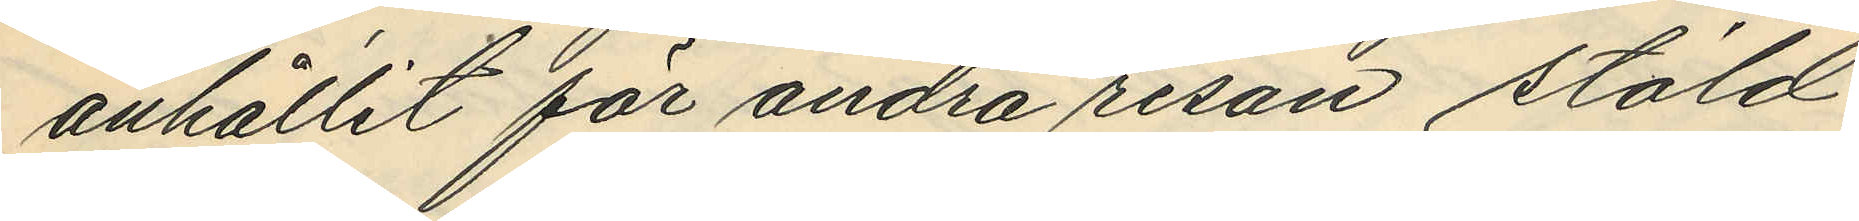anhållit för andra resan stöld
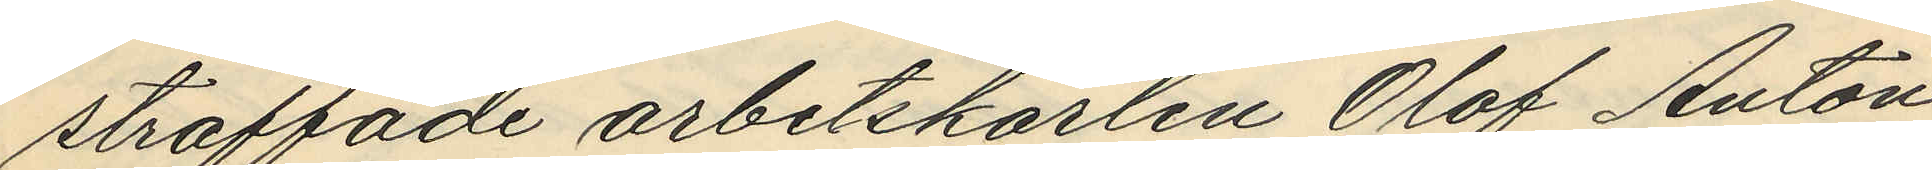straffade arbetskarlen Olof Anton
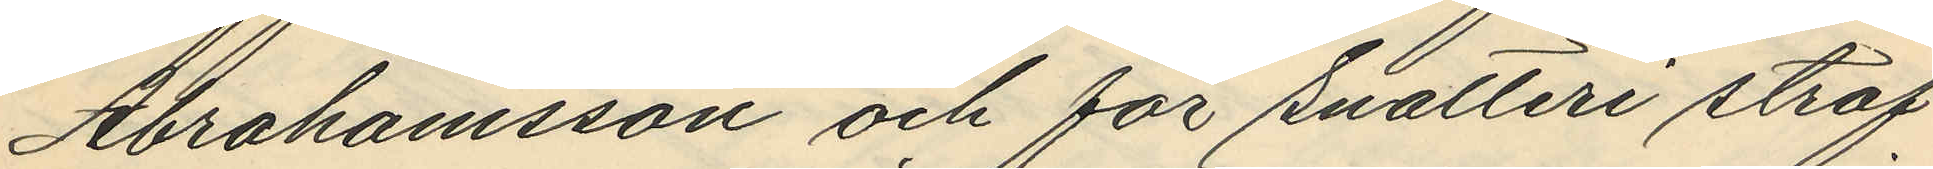Abrahamsson och för snatteri straf¬
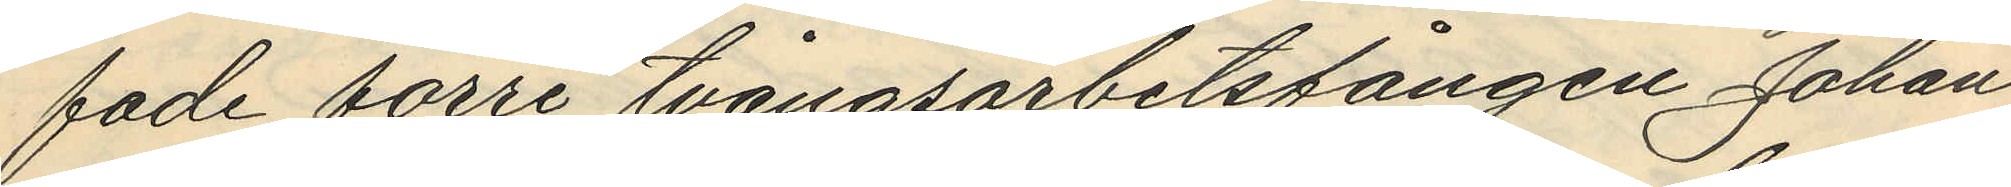fade förre tvångsarbetsfången Johan
